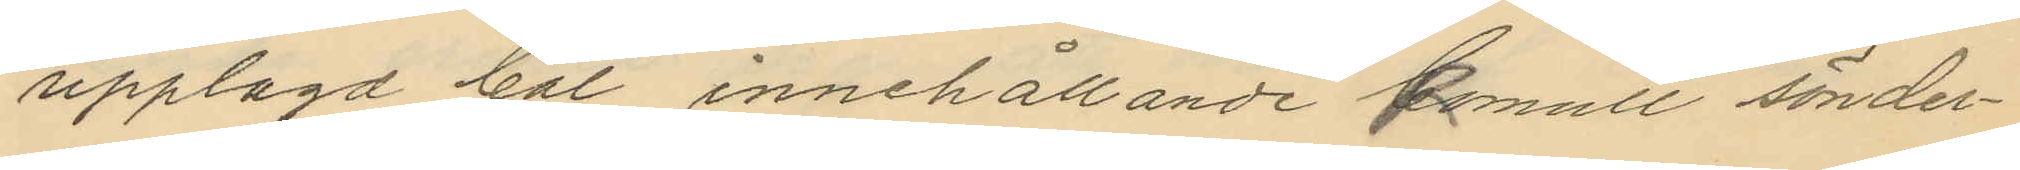upplagd bal innehållande kamull sönder¬
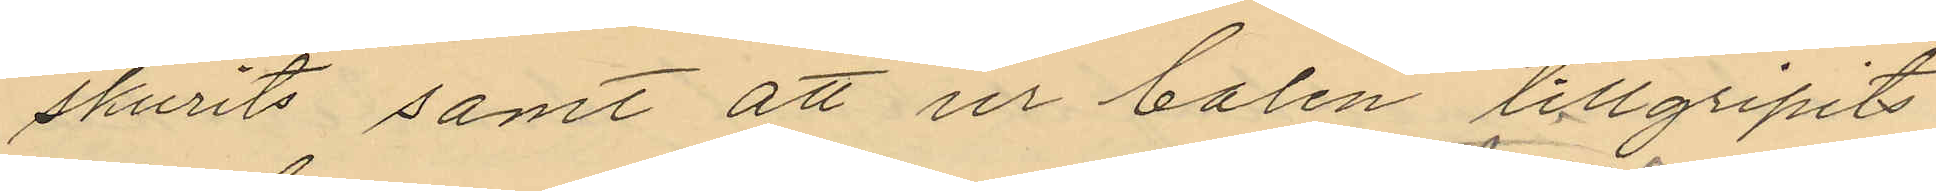skurits samt att ur balen tillgripits
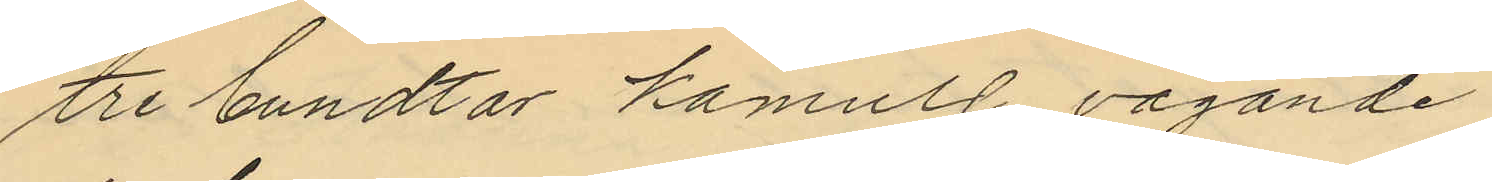tre bundtar kamulll vägande
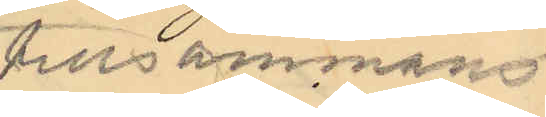tillsammans
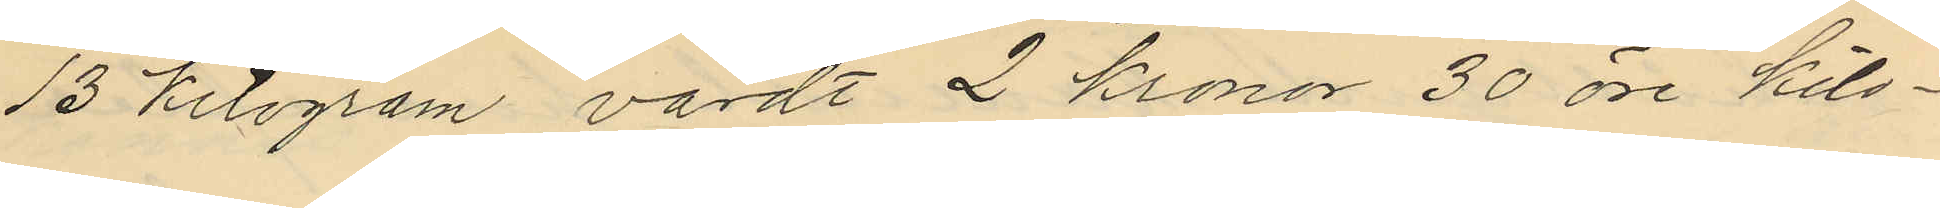13 kilogram värdt 2 kronor 30 öre kilo¬
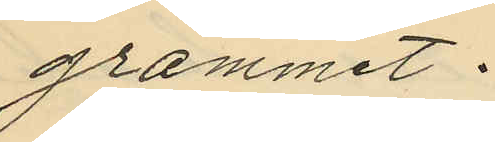grammet.
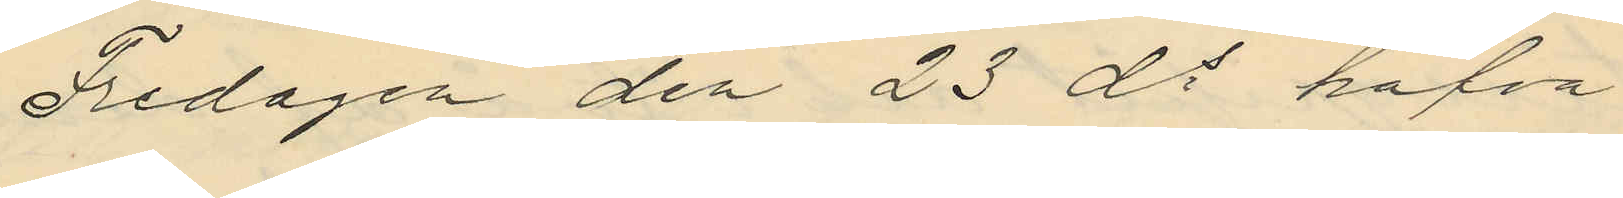Fredagen den 23 ds hafva
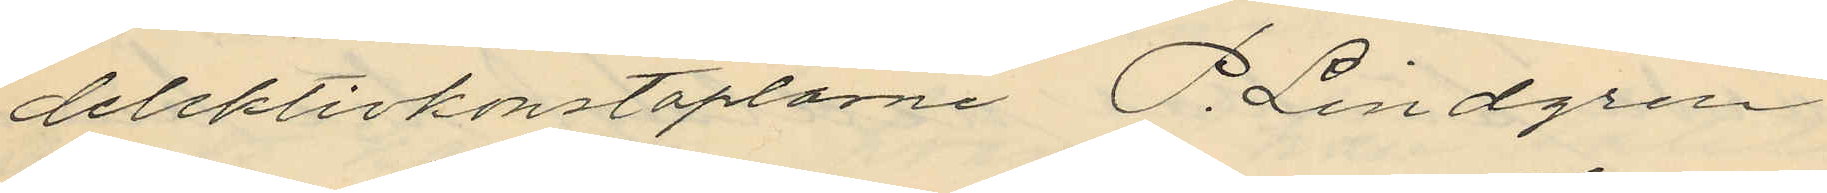detektivkonstaplarne P. Lindgren
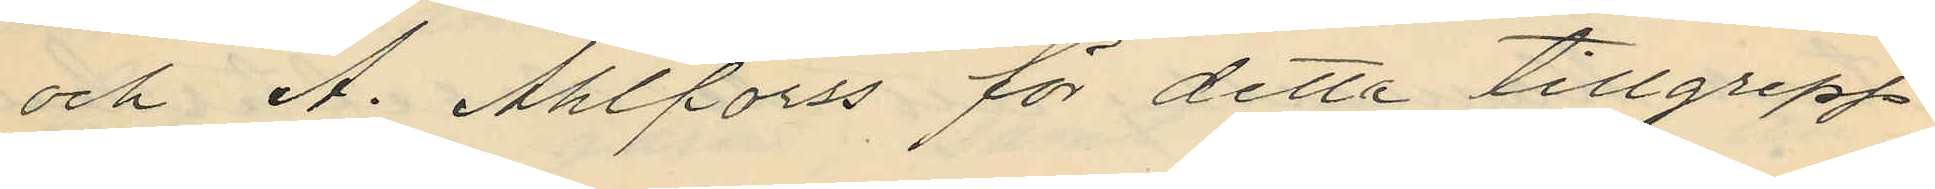och A. Ahlforss för detta tillgrepp
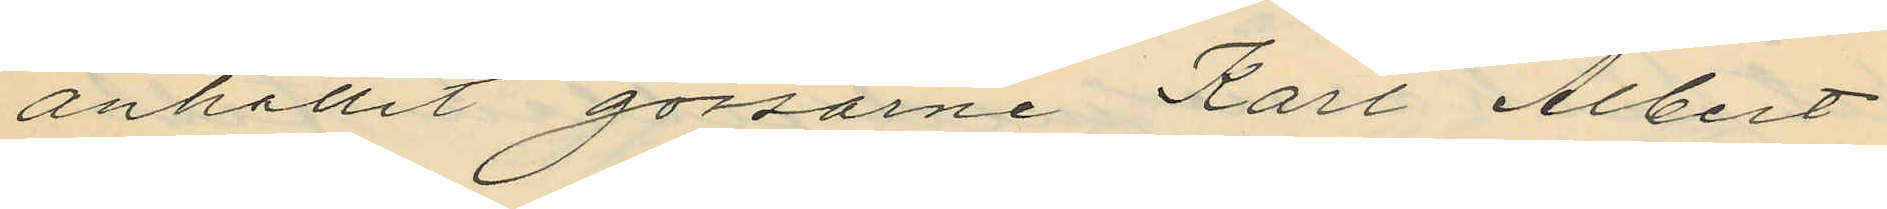anhållit gossone Karl Albert
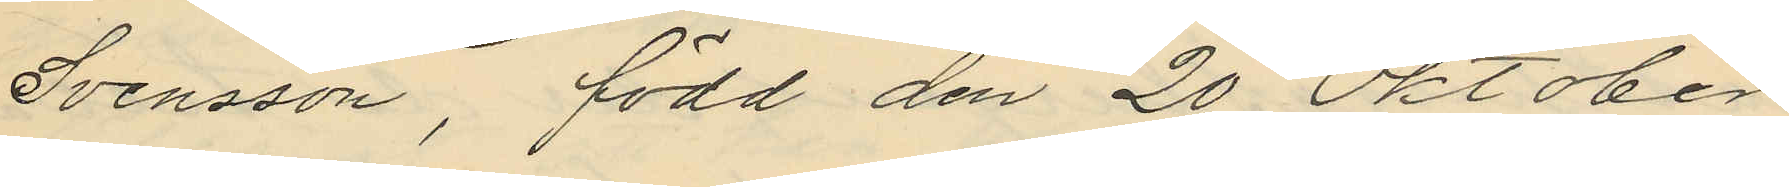Svensson, född den 20 Oktober
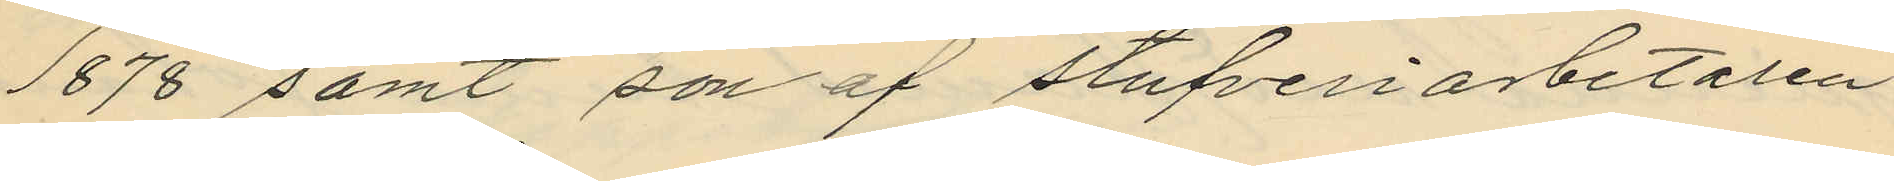1878 samt son af stufveriarbetaren
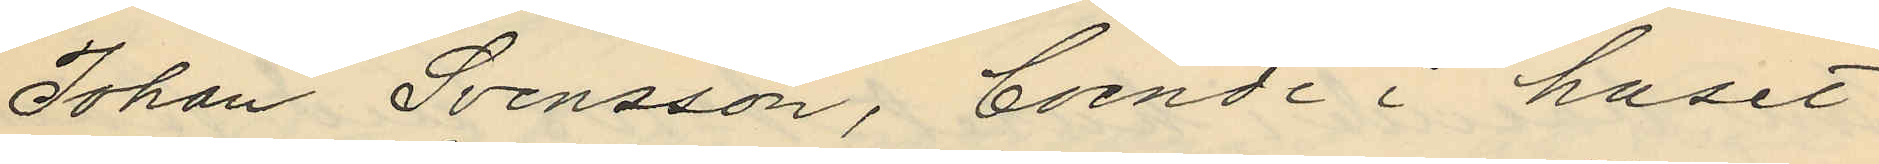Johan Svensson, boende i huset
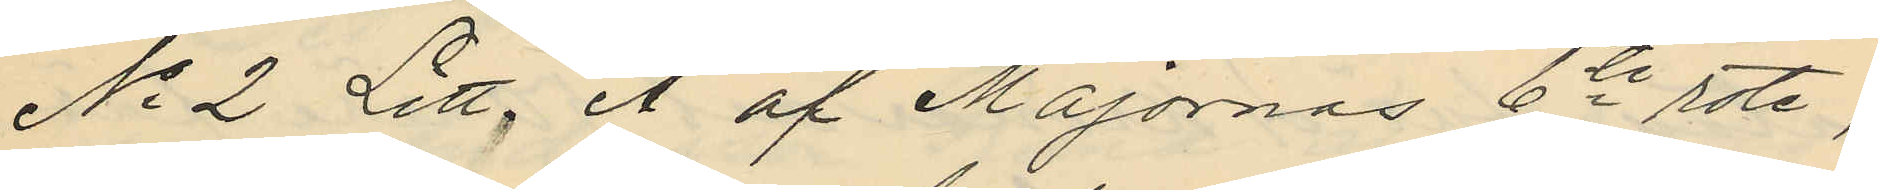No 2 Litt. A af Majornas 6te rote,
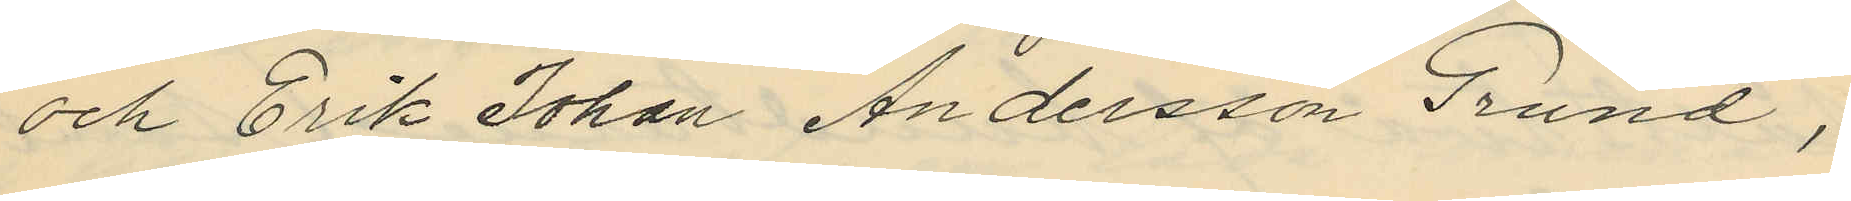och Erik Johan Andersson Grund,
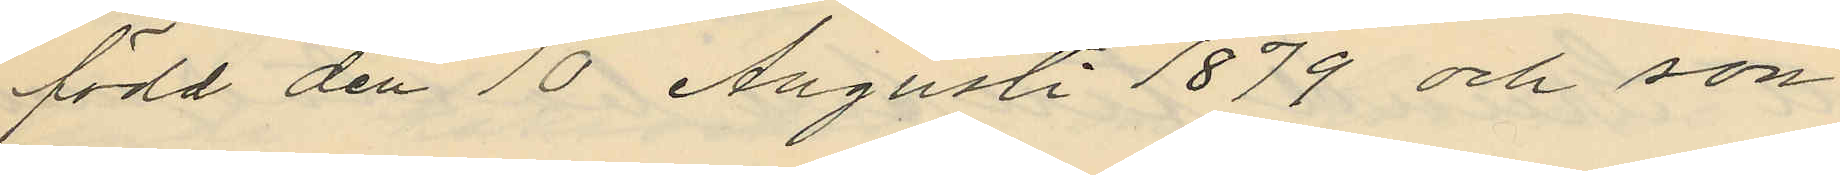född den 10 Augusti 1879 och son
